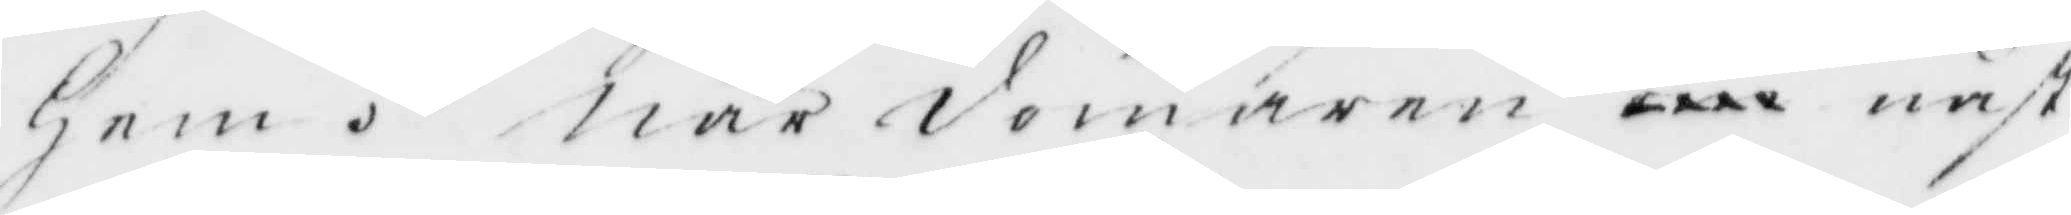Hem. När domaren xxx näst¬
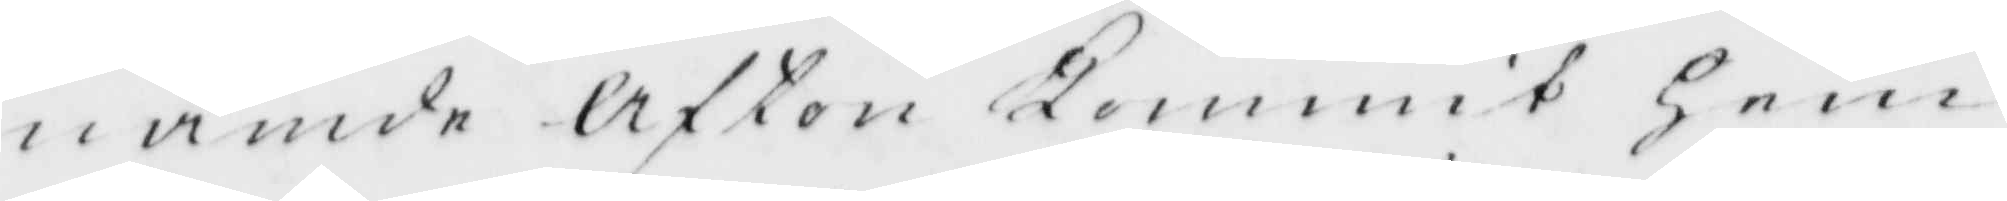nämde Afton Kommit Hem
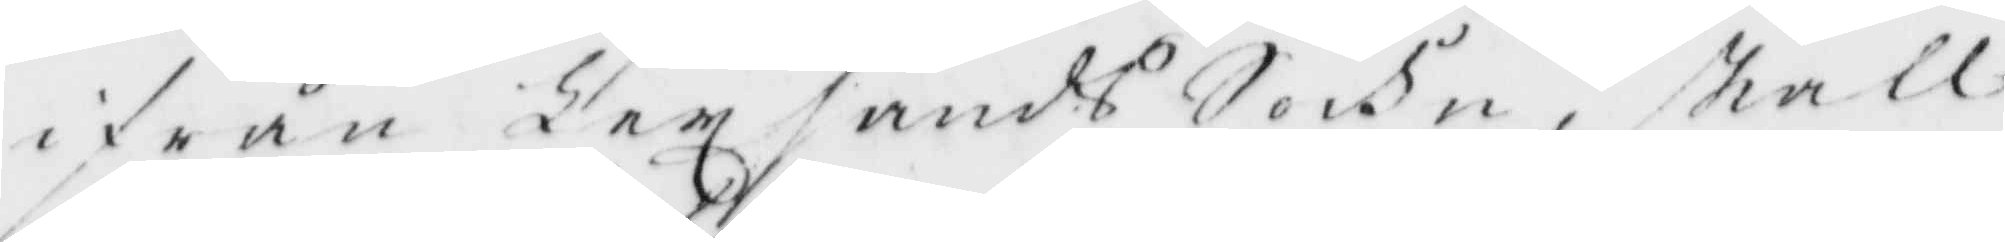ifrån Lexsands Sockn, skall
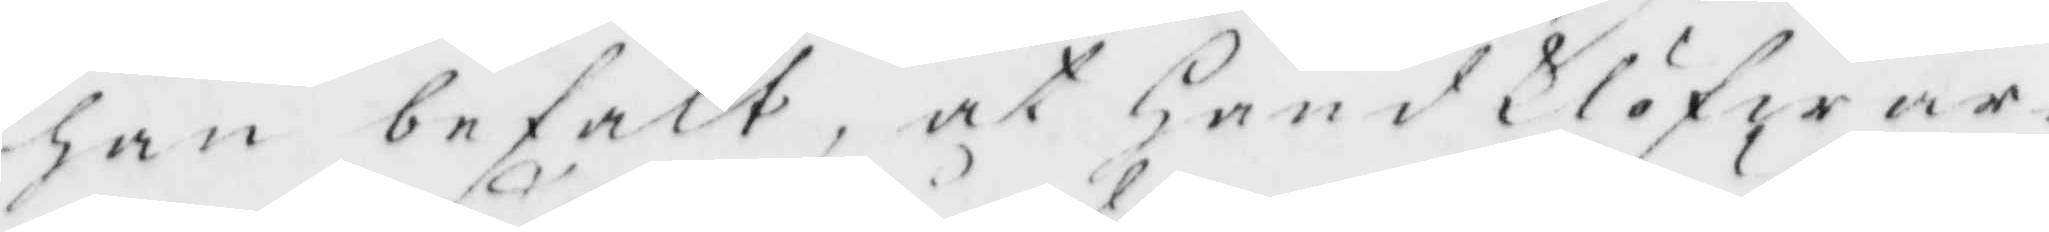han befalt at Handklöfwar¬
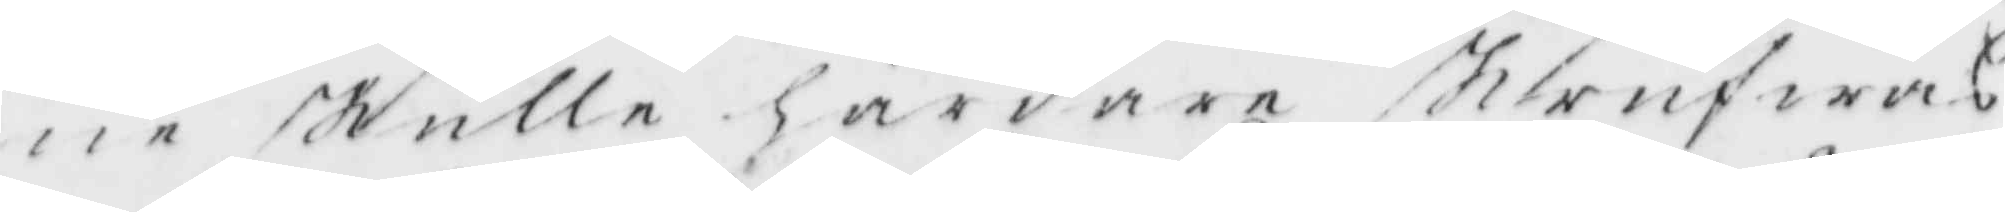ne skulle hårdare skrufwas
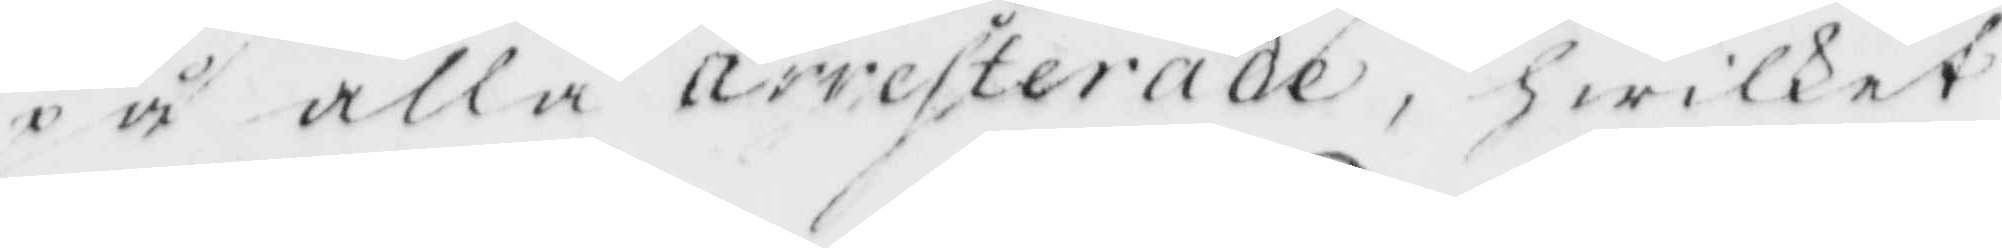på alla arresterade, hwilket
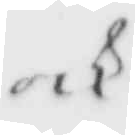och
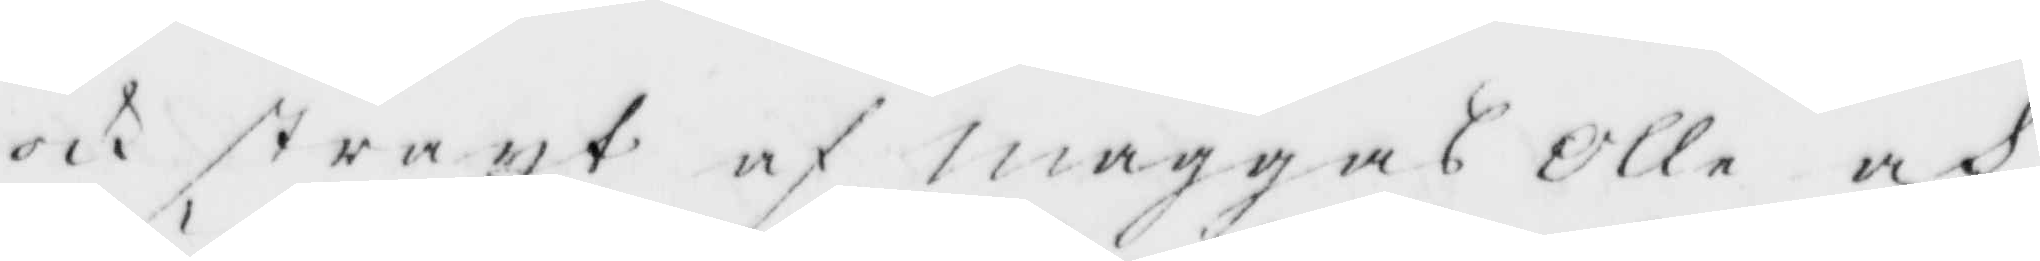och straxt af maggas Olle och
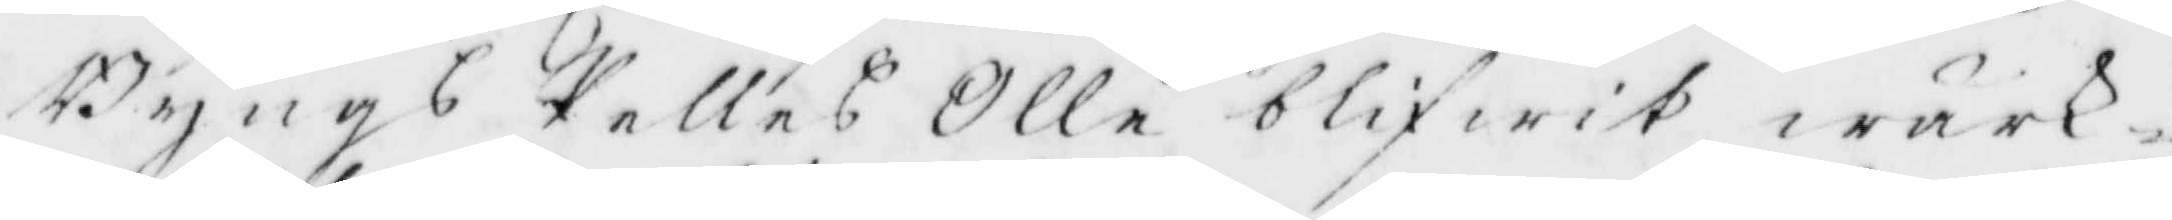Bängs Pelles Olle blifwit wärk¬
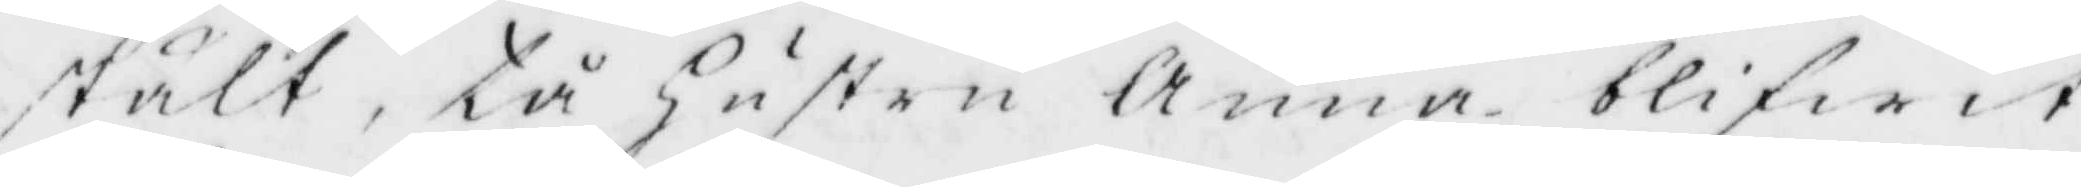stält, tå Hustru Anna blifwit
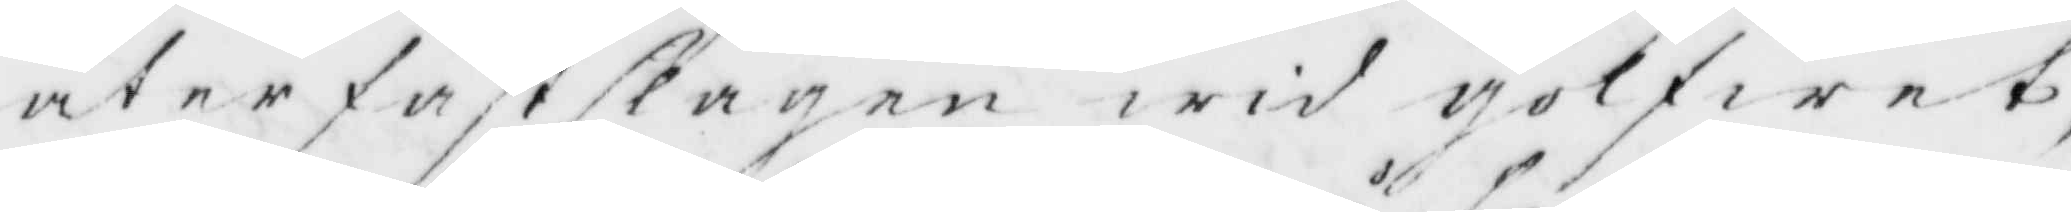åter faststagen wid golfwt,
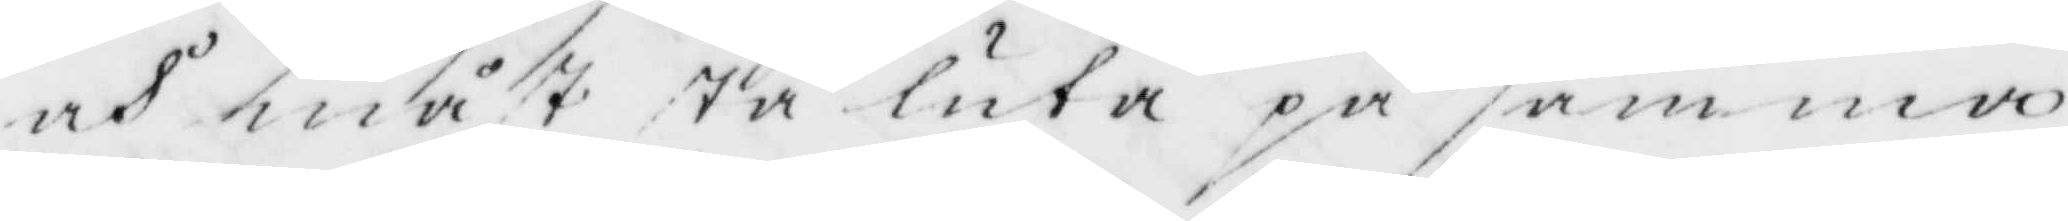och måst stå luta på samma
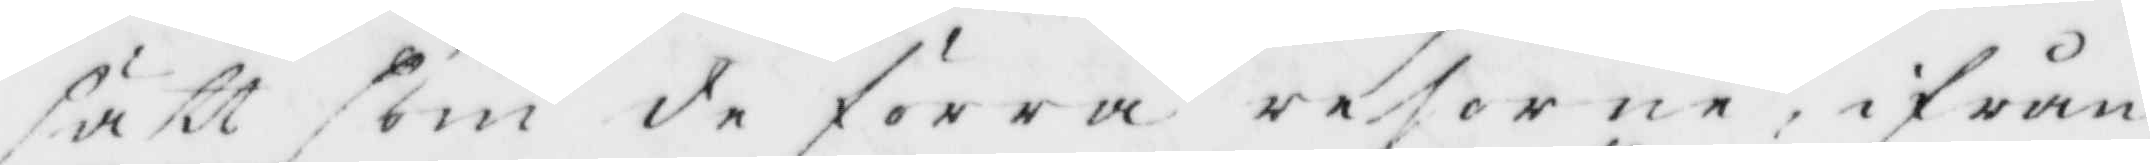sätt som de förra reserne, ifrån
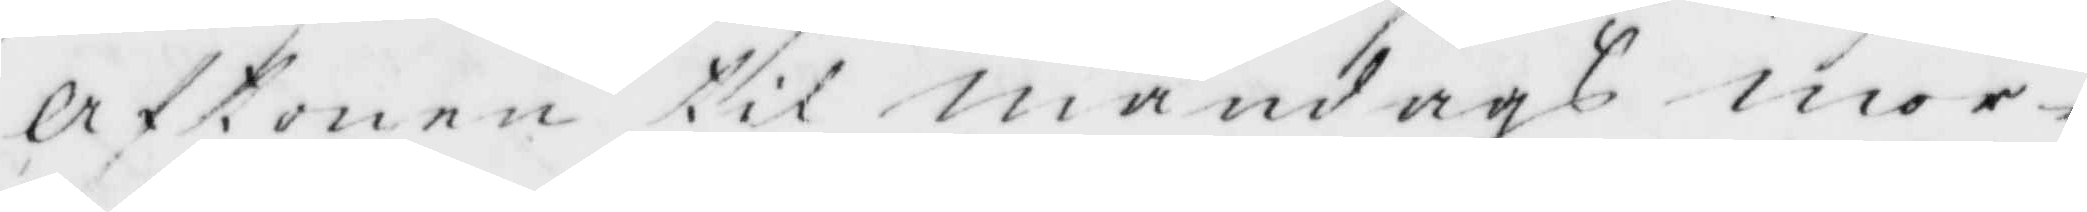Aftonen til måndags mor¬
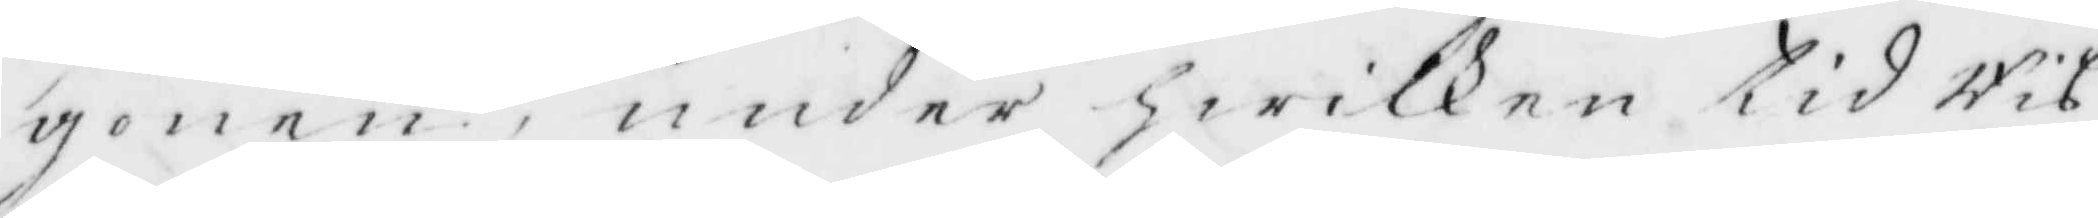gonen, under hwilken tid Ris
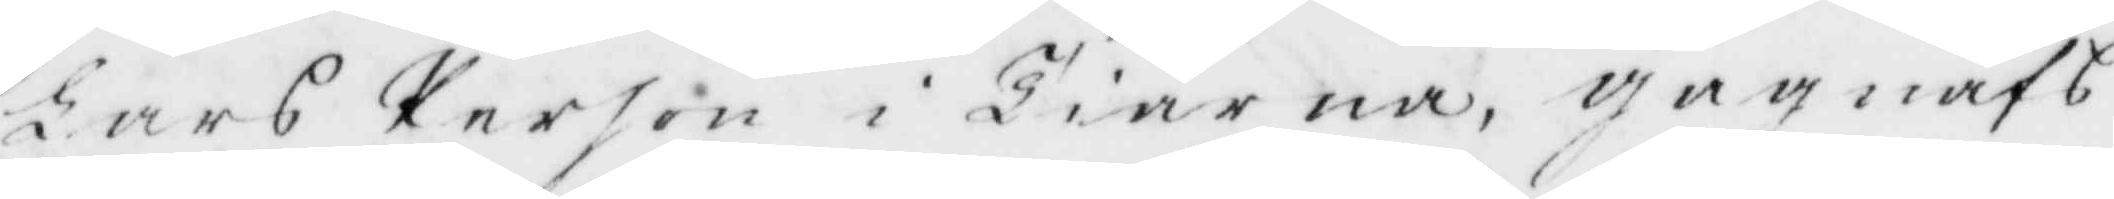Lars Person i Tiärna, gagnäfs
